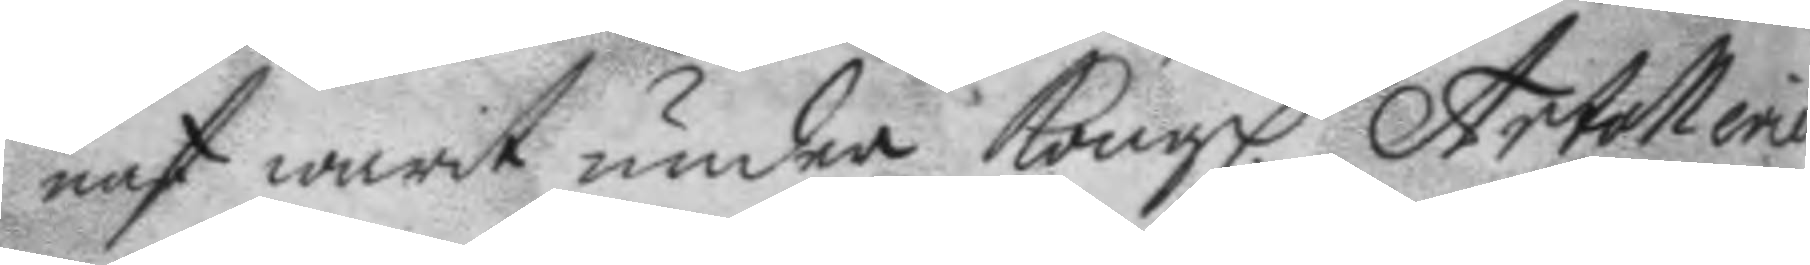nast warit under Kongl. Artolleriet
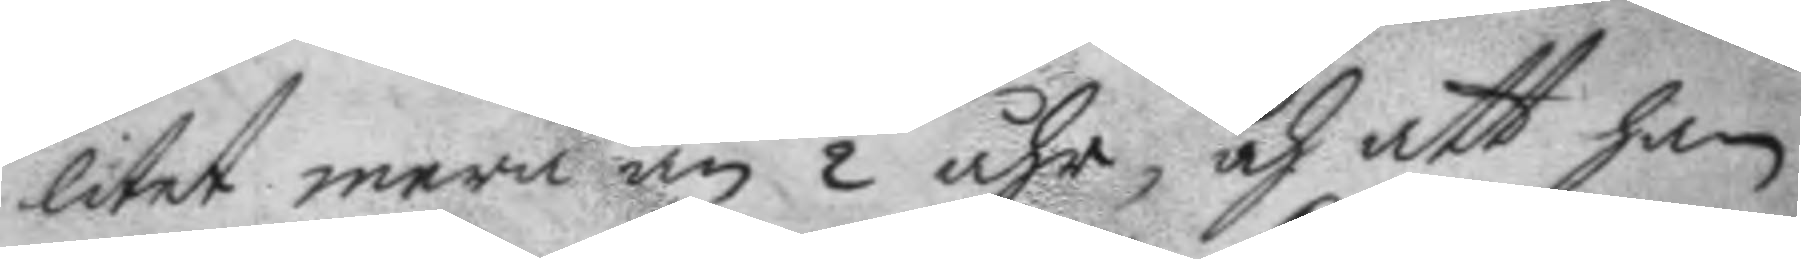litet mera än ½ åhr, och att han
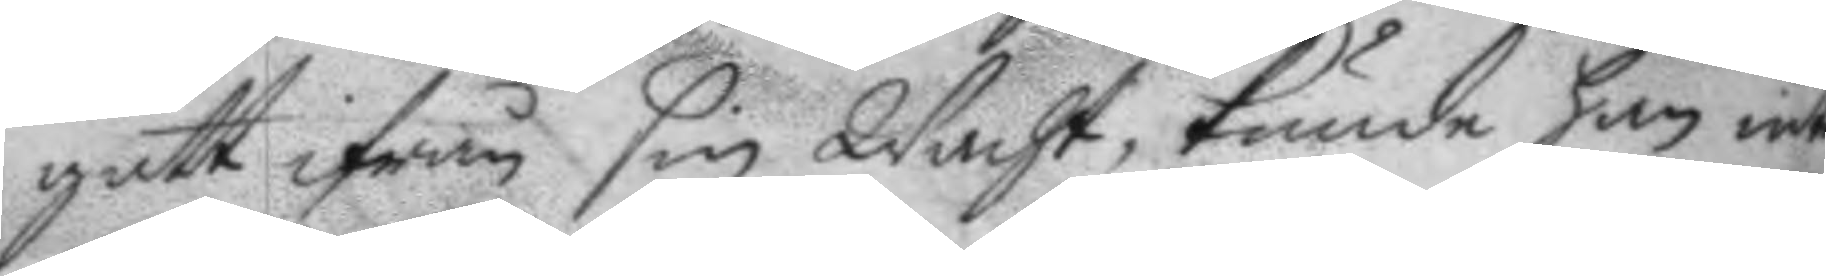gått ifrån sin Wacht, kunde han intet
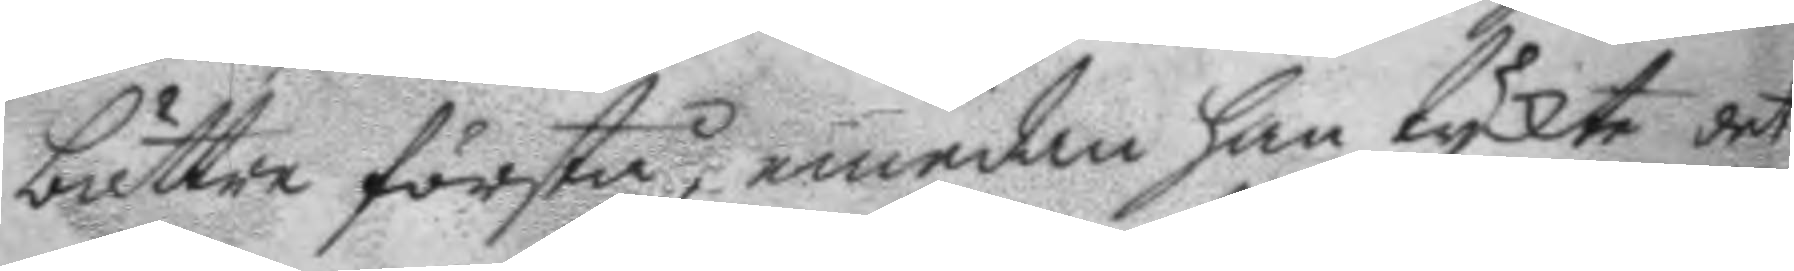bättre förstå, emedan han tyckt det
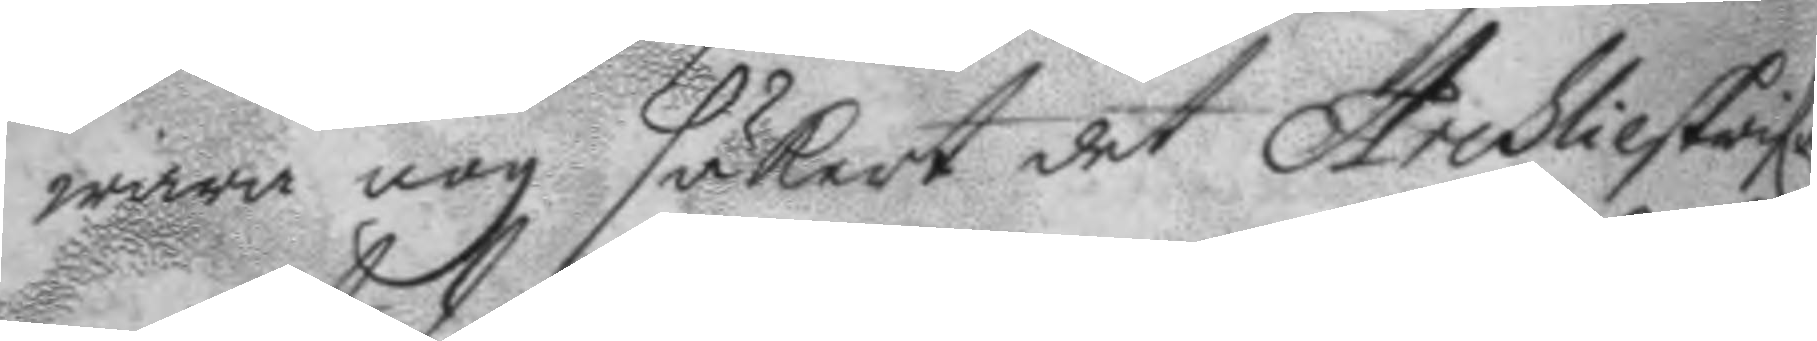wara nog säkert det Archlieskrifa¬
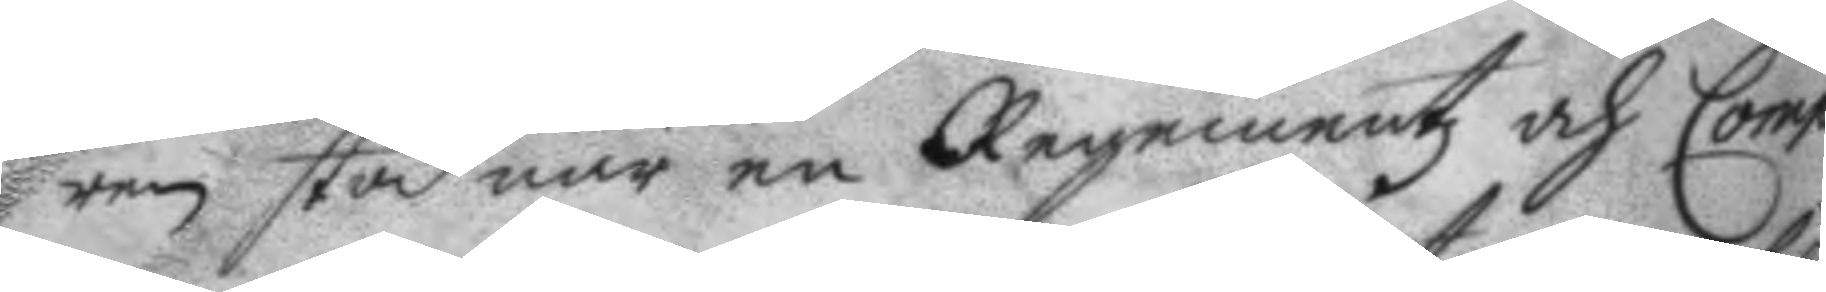ren stod när en Regementz och Comp¬
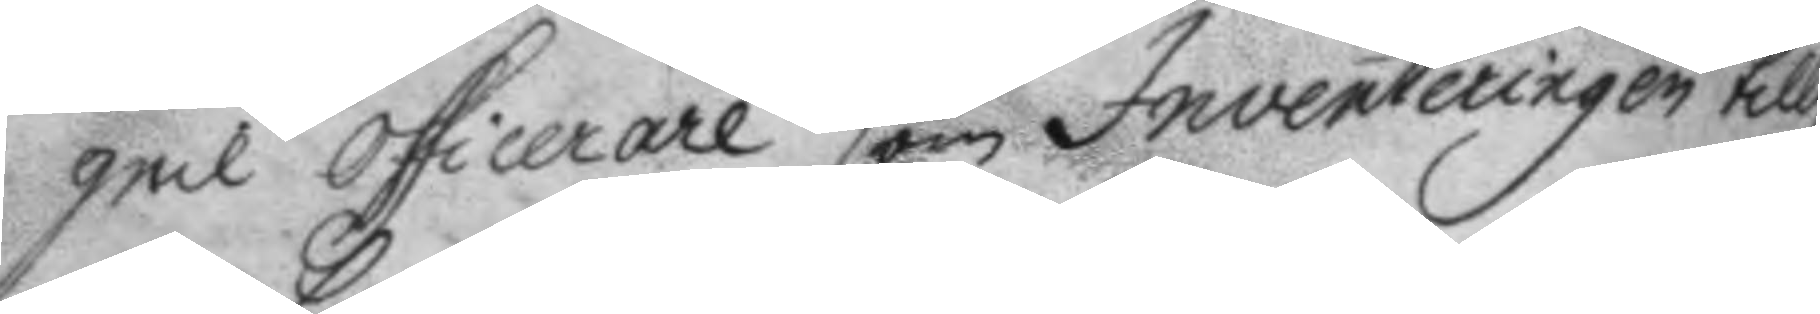geil officerare som Inventeringen tilly¬
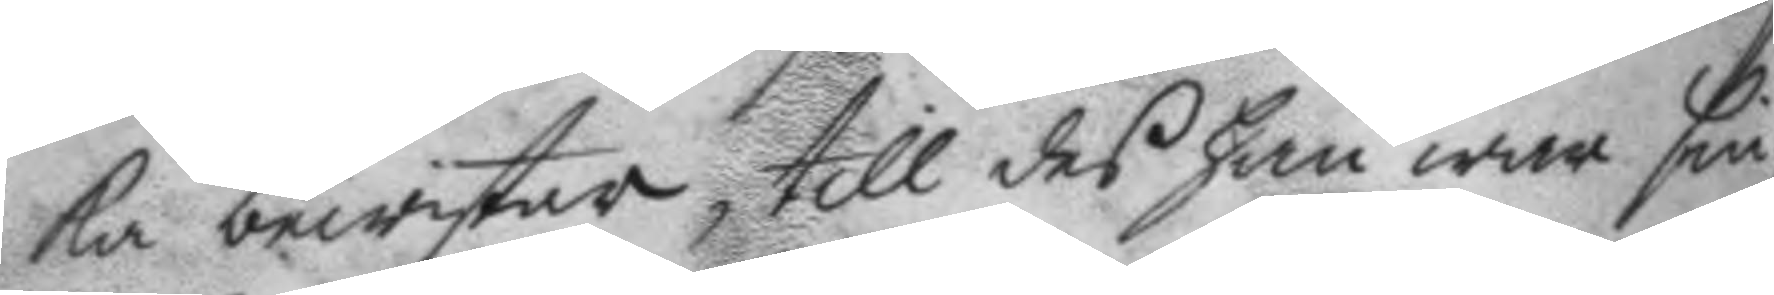ka bewistar, till des han war sin¬
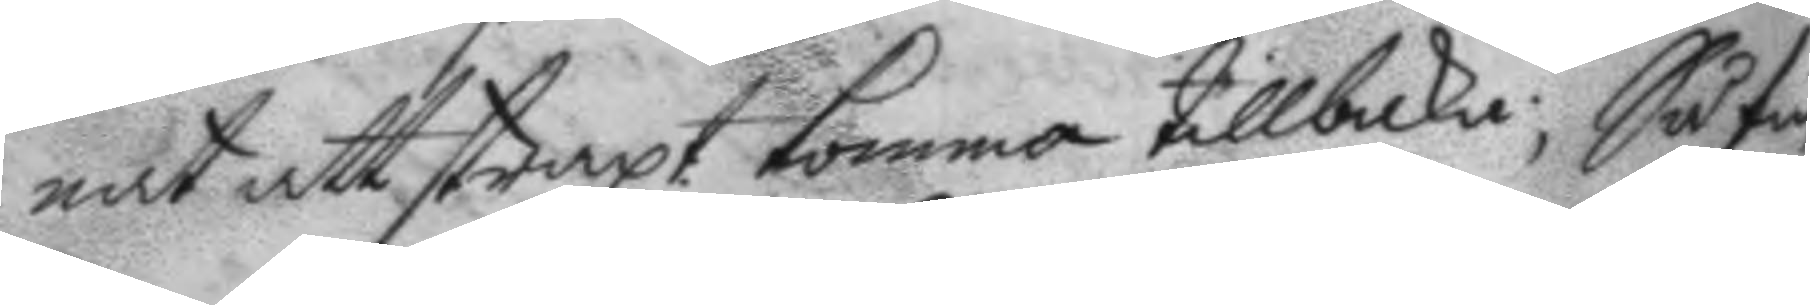nat att straxt komma tillbaka; Så fin¬
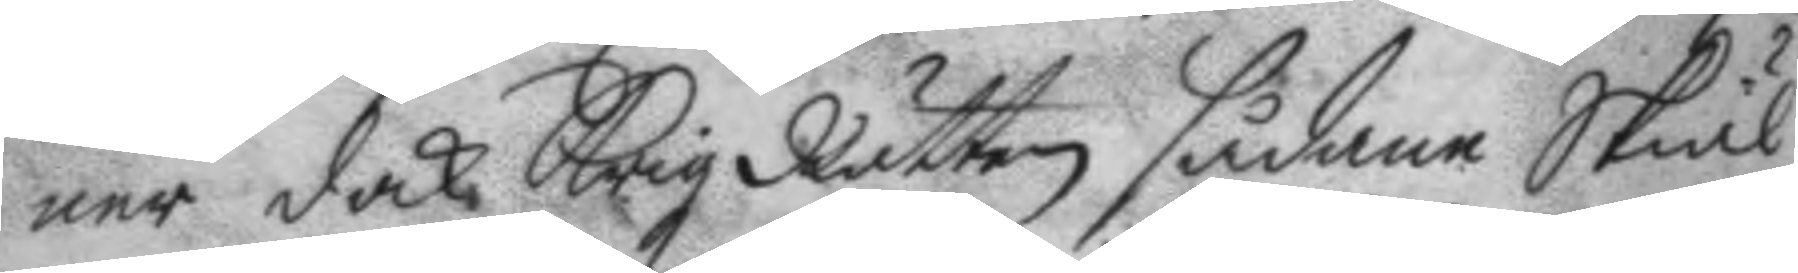ner dock Krigz Rätten sådane Skiäl
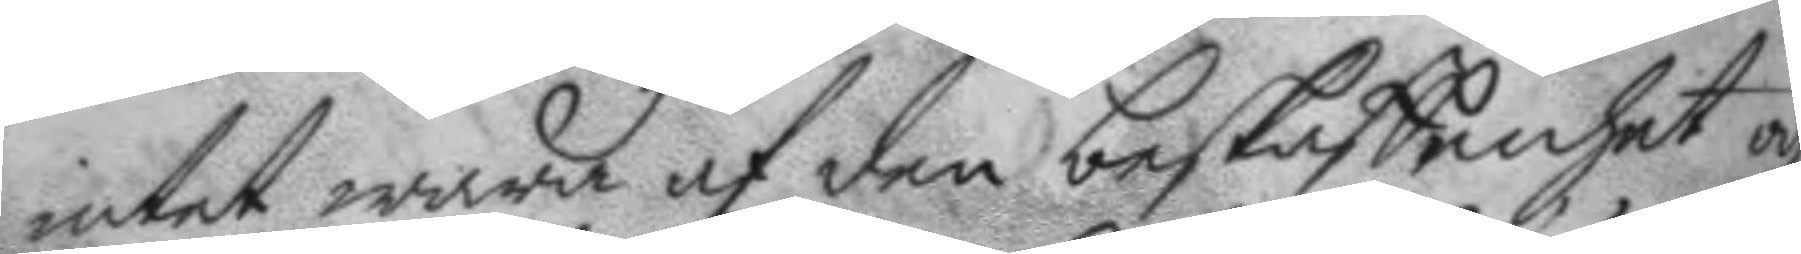intet wara af den beskaffenhet och
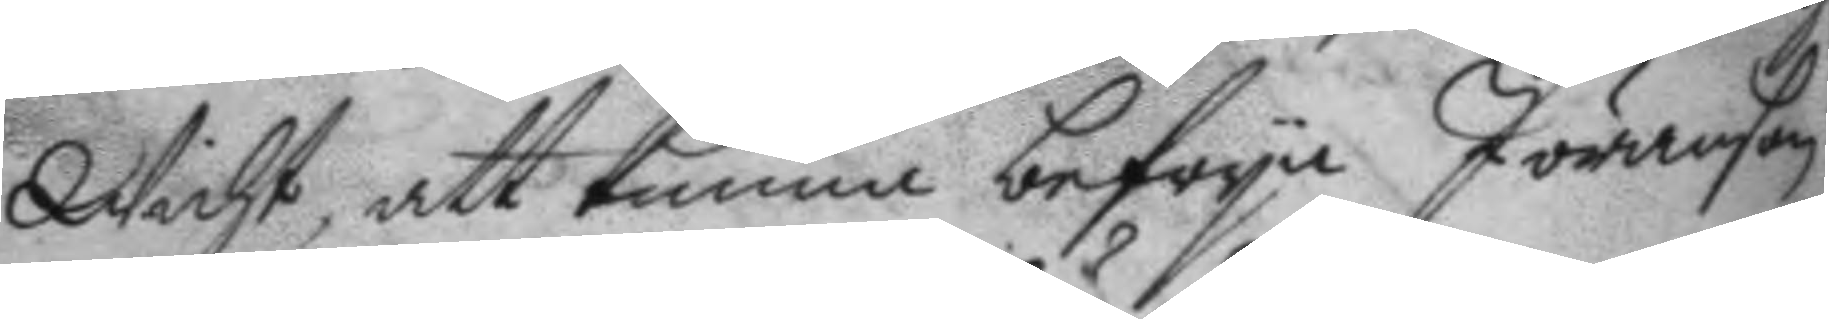wicht, att kunna befrya Jöranson
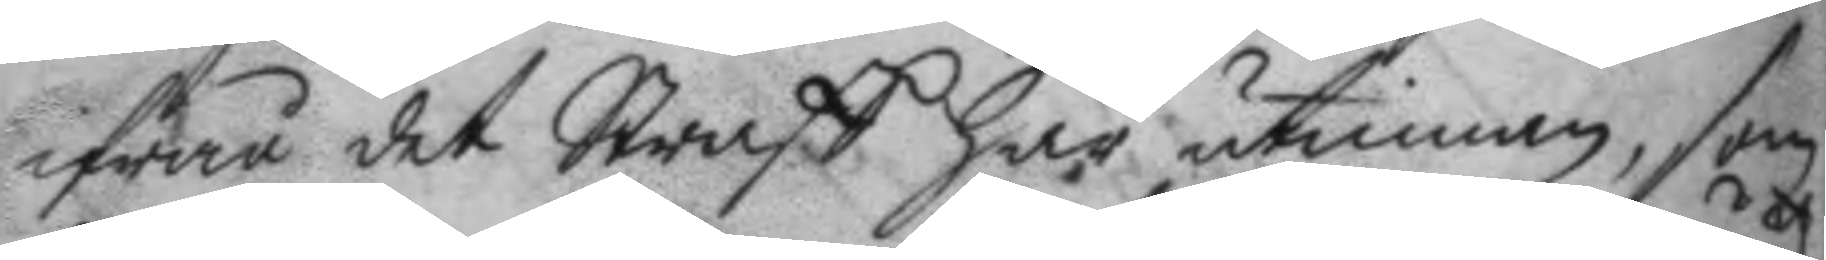ifrån det Straff här utinnan, som
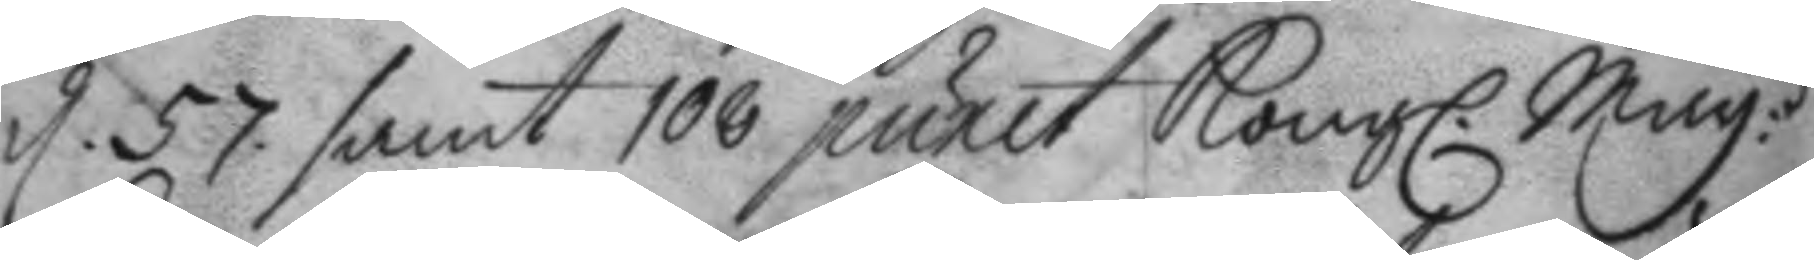d. 57 samt 108 punct Kongl. May.ttz
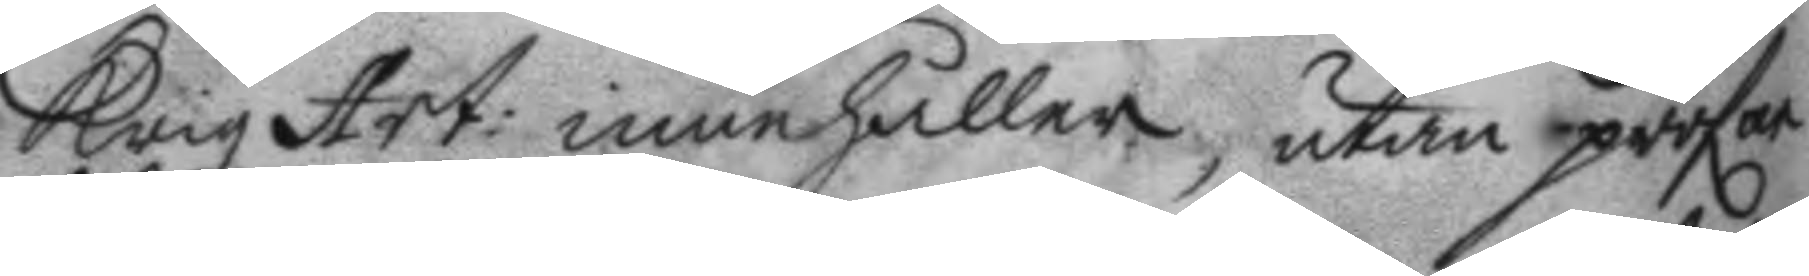Krigz Art: innehåller, utan pröfar
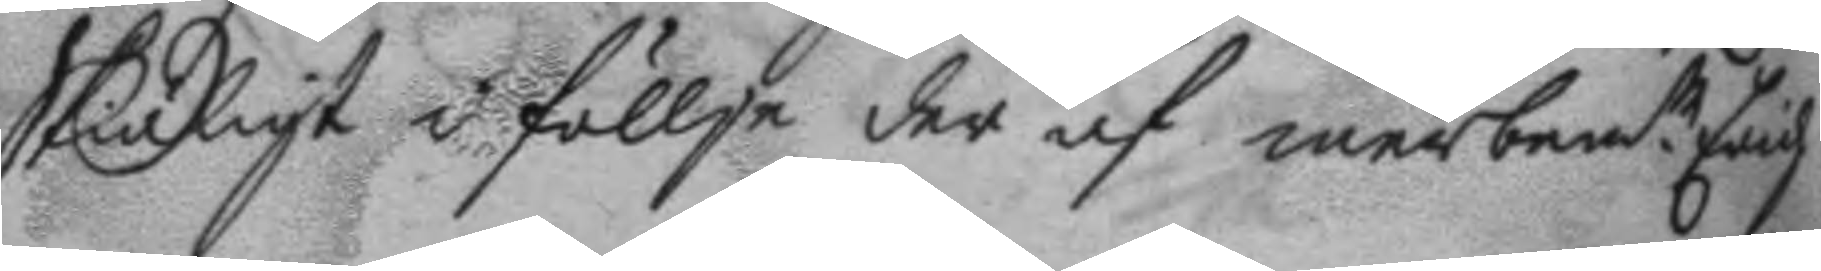Skiäligt i föllje der af merbem.te Erich
